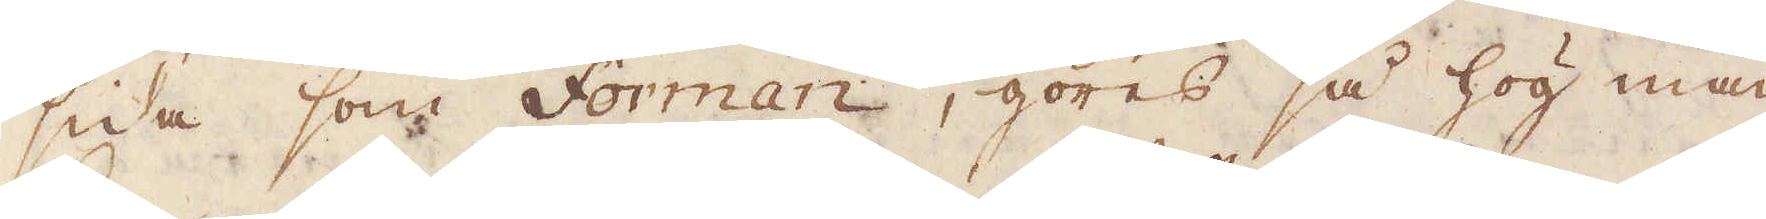sida som Forman, göres så hög man
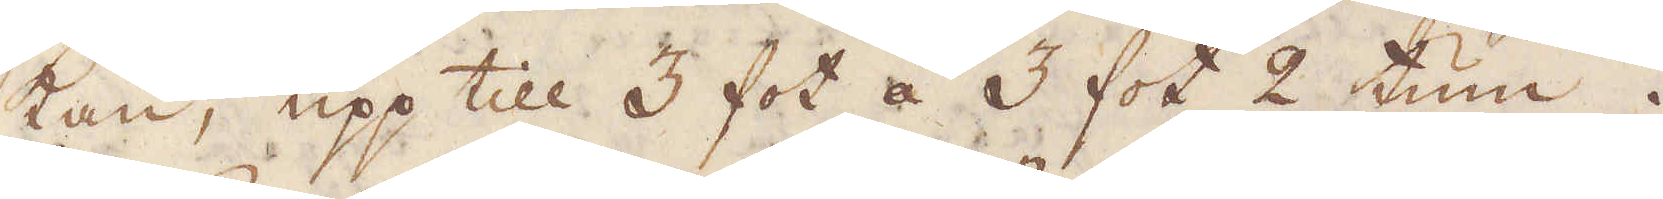kan, upp till 3 fot a 3 fot 2 tum.
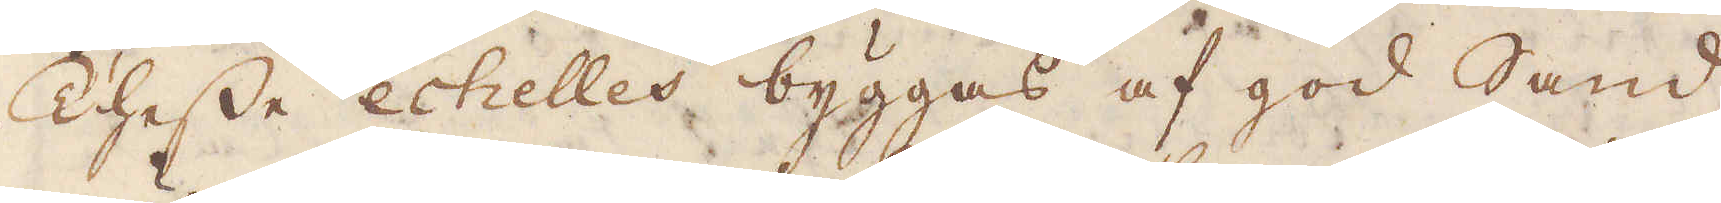Thesse echelles byggas af god Sand
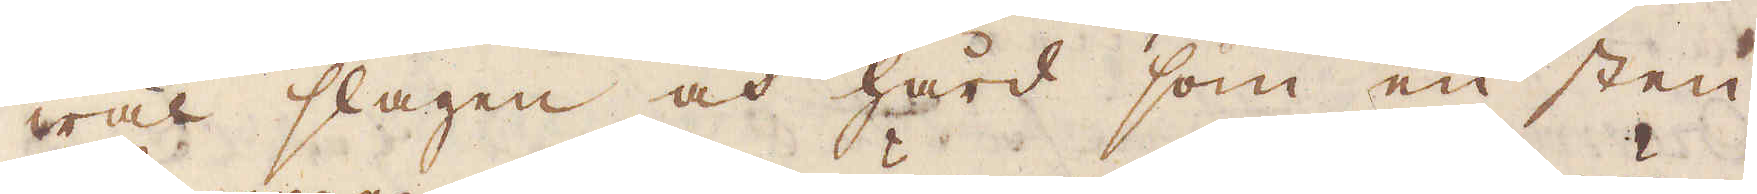wäl slagen och hård som en sten.
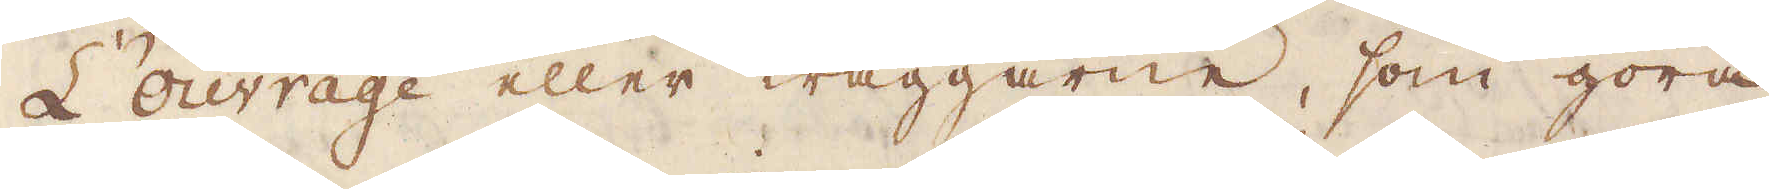L'ouvrage eller wäggarne, som göra
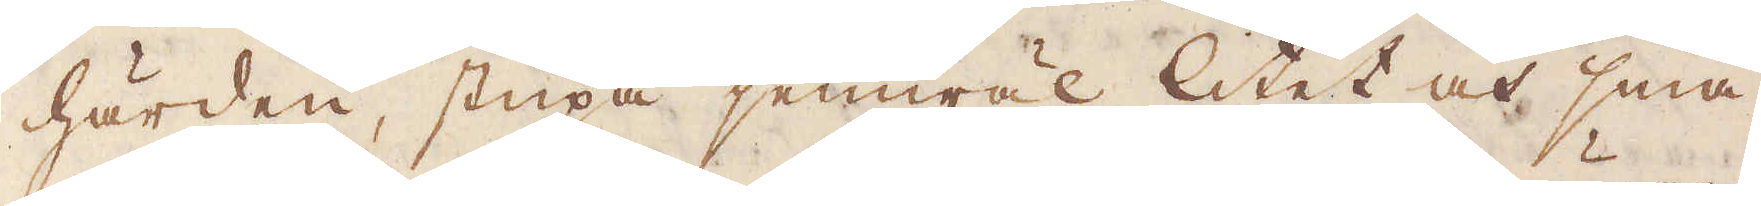härden, stupa jemwäl litet och små-
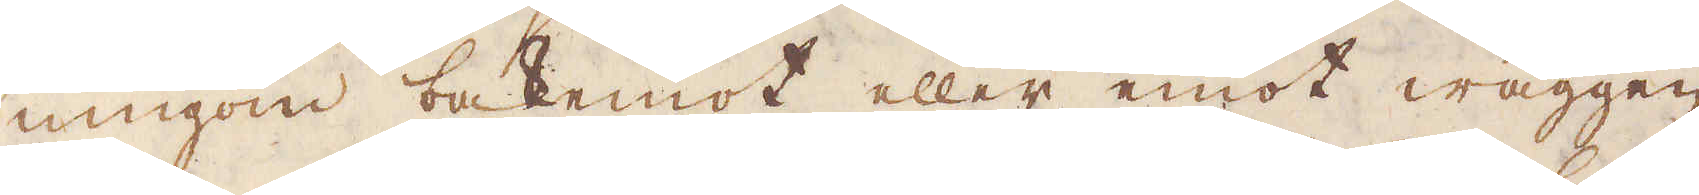ningom bakemot eller emot wäggen
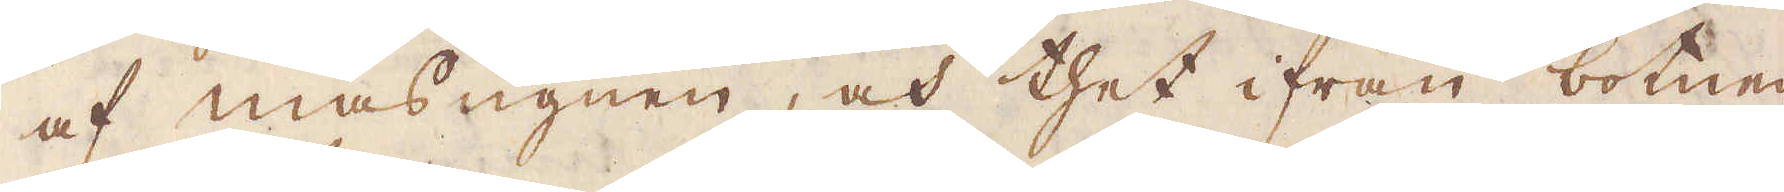af masugnen, och thet ifrån botnen
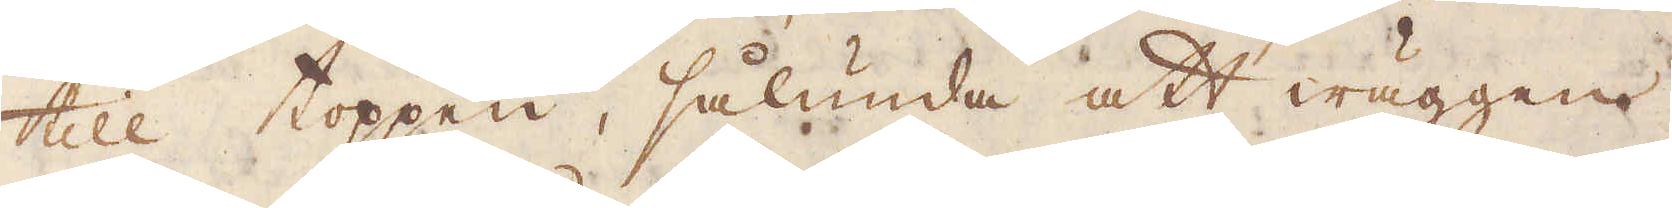till toppen, sålunda att wäggen,
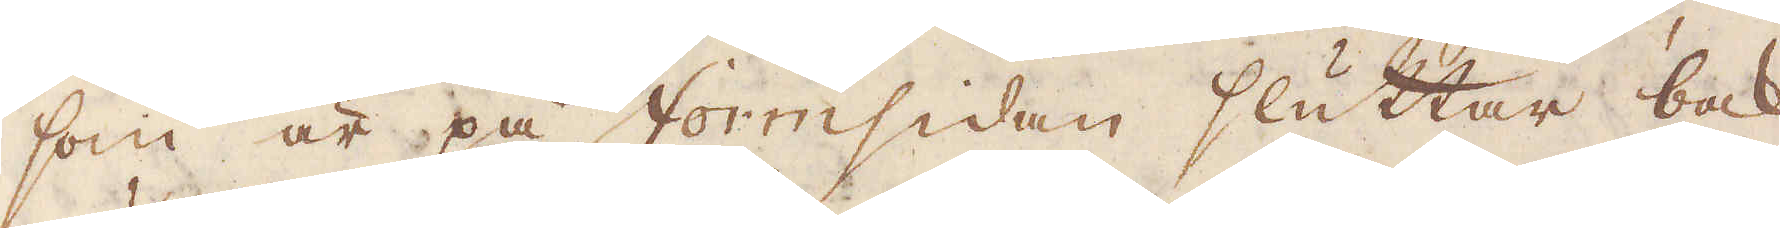som är på Formsidan sluttar bak-
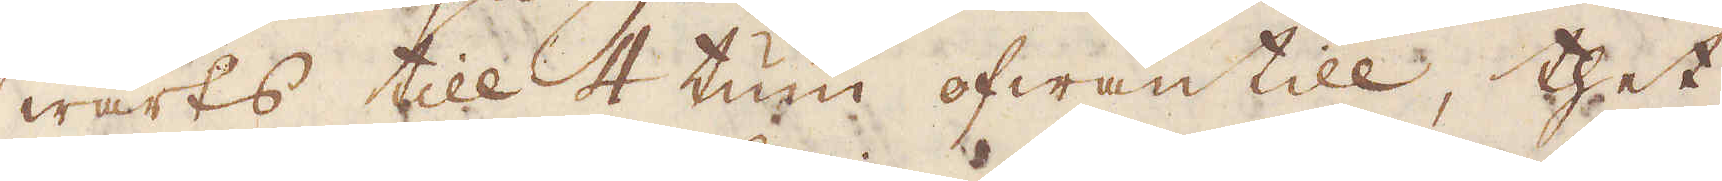wärts till 4 tum ofwantill, thet
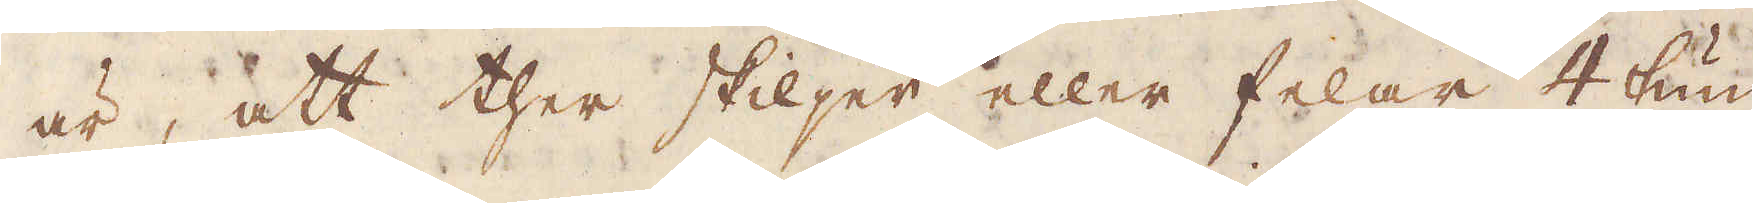är, att ther skiljer eller felar 4 tum
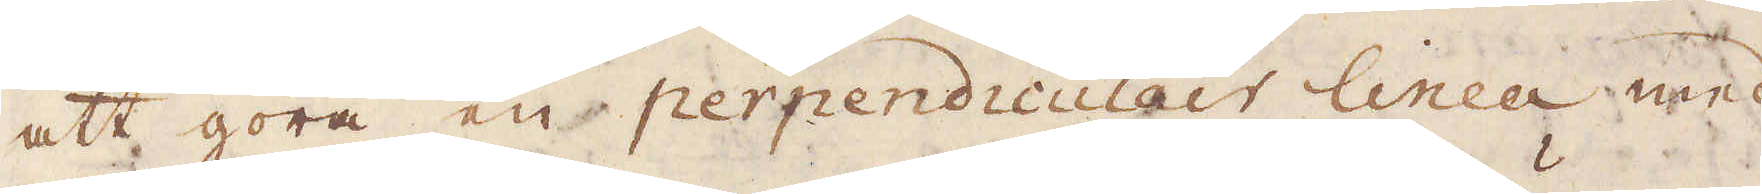att göra en perpendiculair linea med
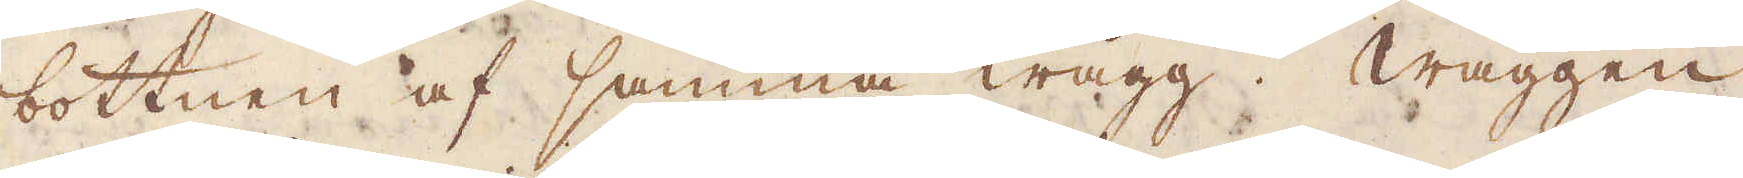bottnen af samma wägg. Wäggen,
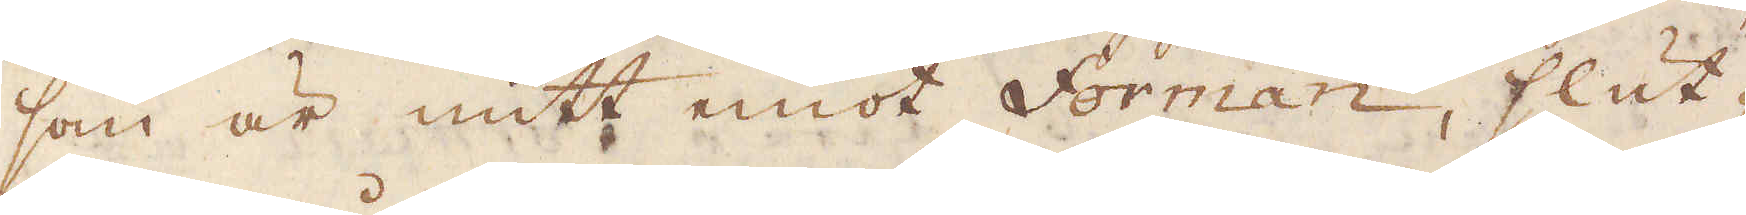som är mitt emot Forman, slut-
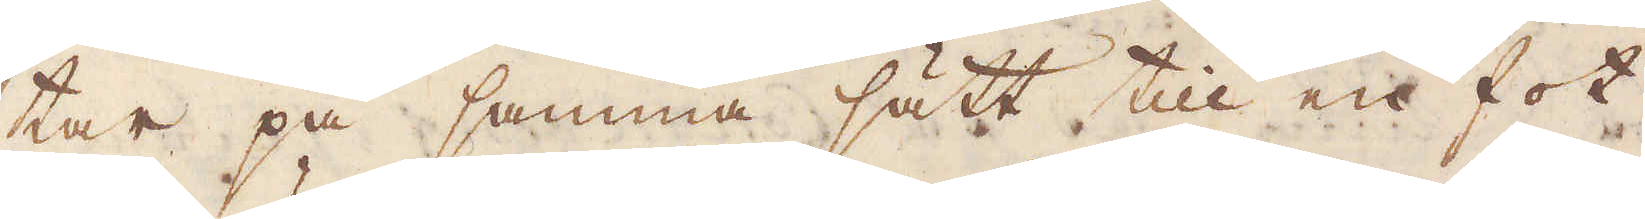tar på samma sätt till en fot
